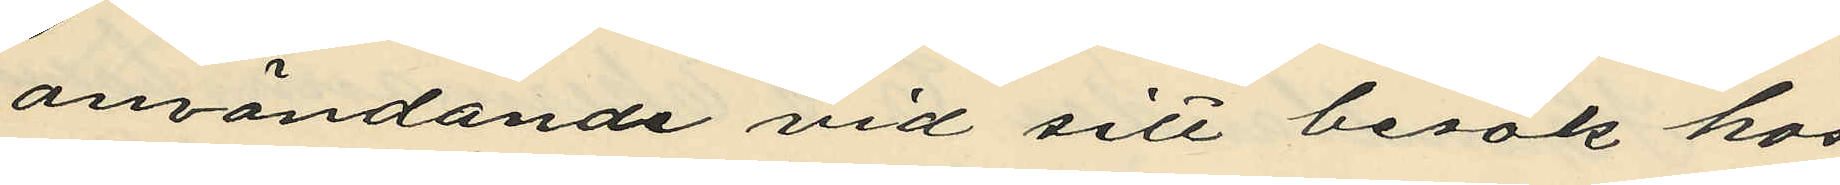användande vid sitt besök hos
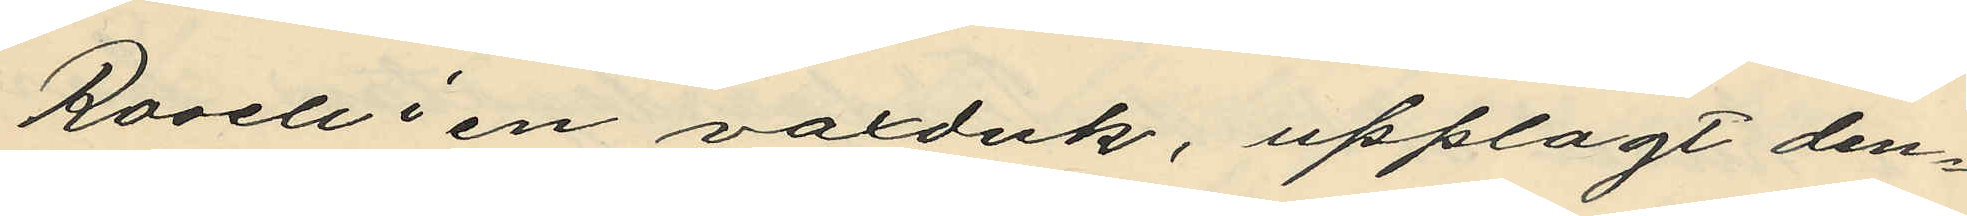Rosell i en vaxduk, upplagt den¬
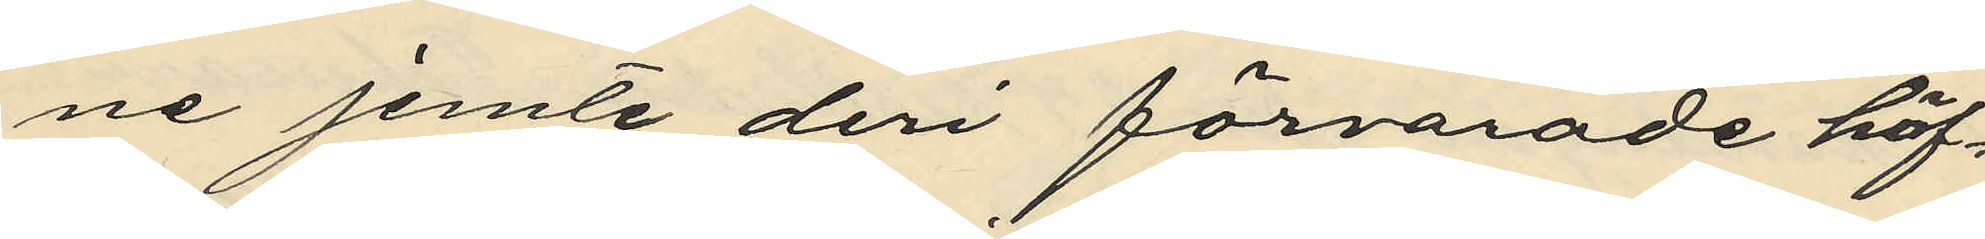ne jemte deri förvarade häf¬
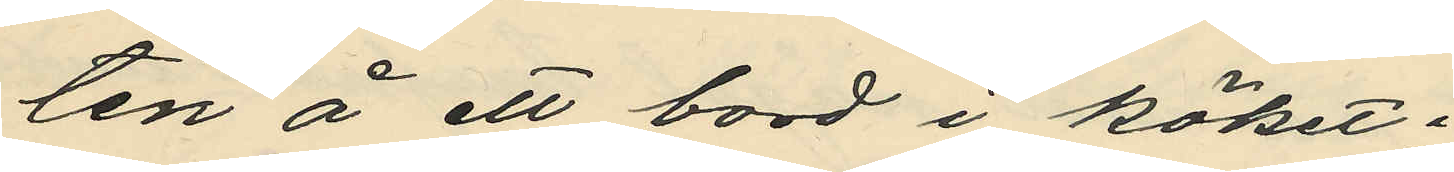ten å ett bord i köket;
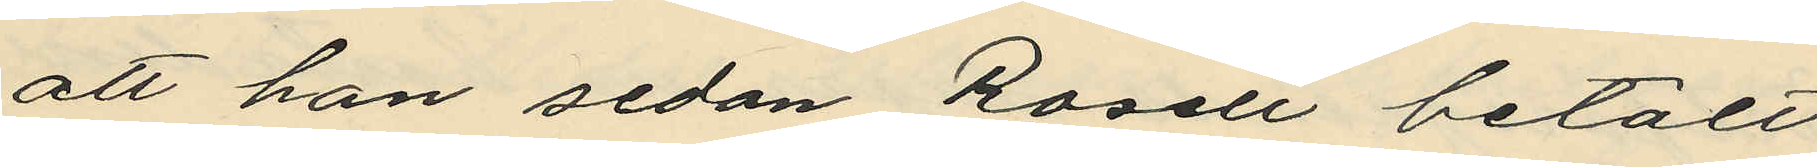att han sedan Rosell betalt
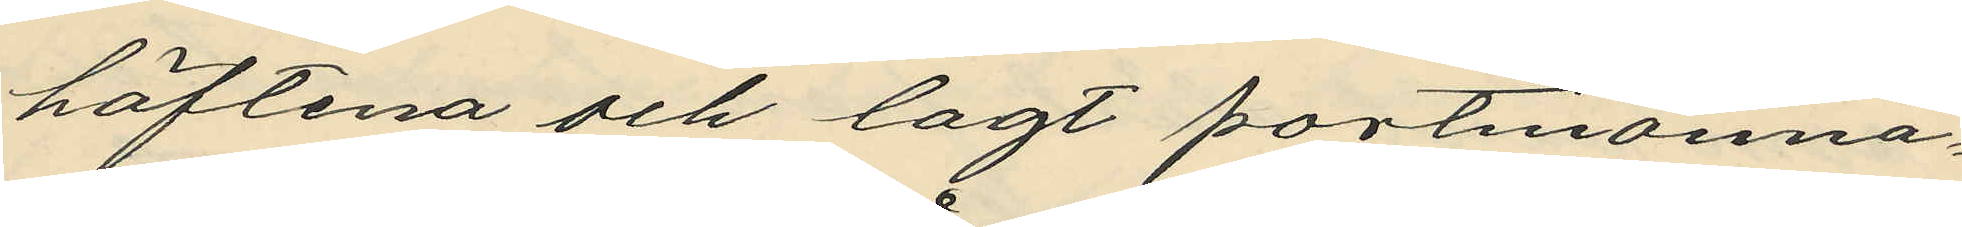häftena och lagt portmonnä¬
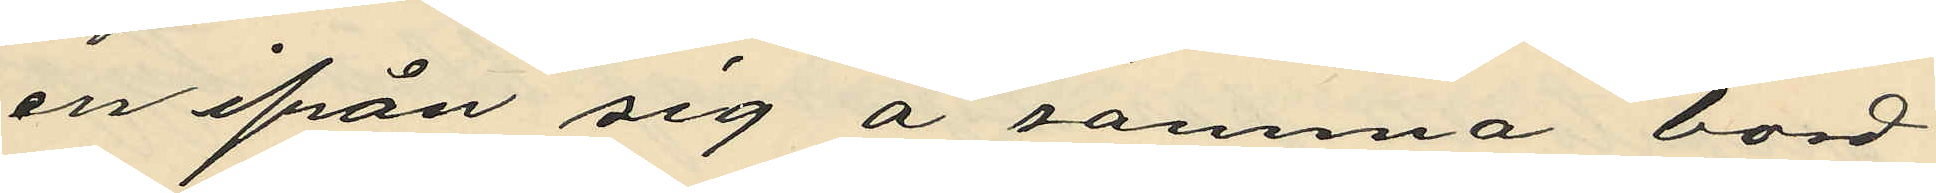en ifrån sig å samma bord
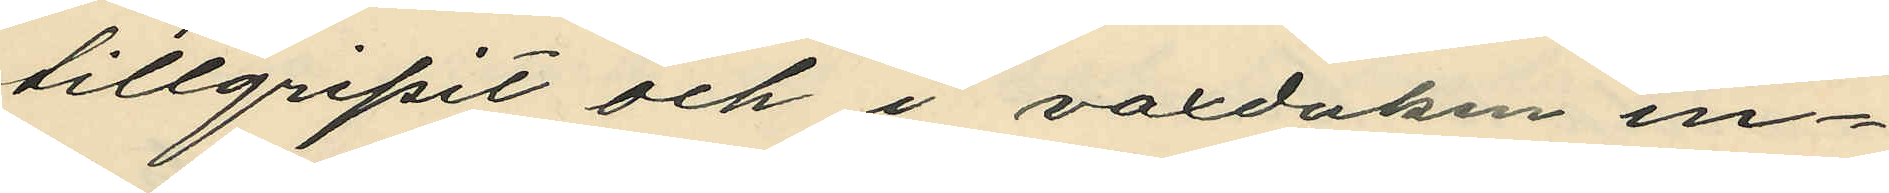tillgripit och i vaxduken in¬
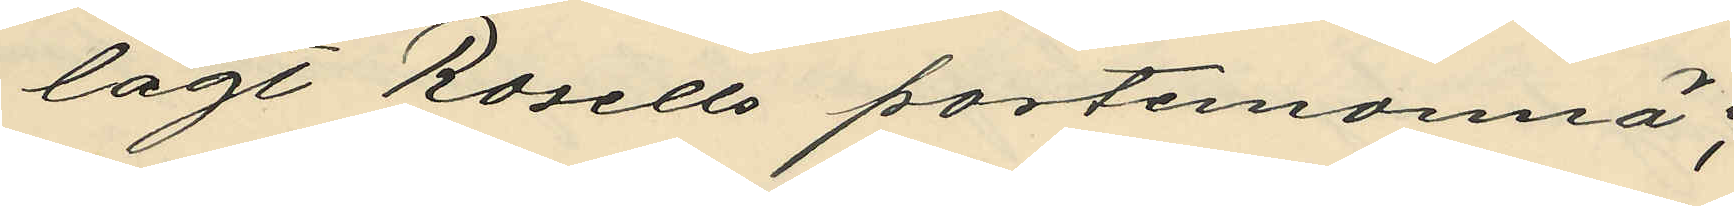lagt Rosells portemonnä;
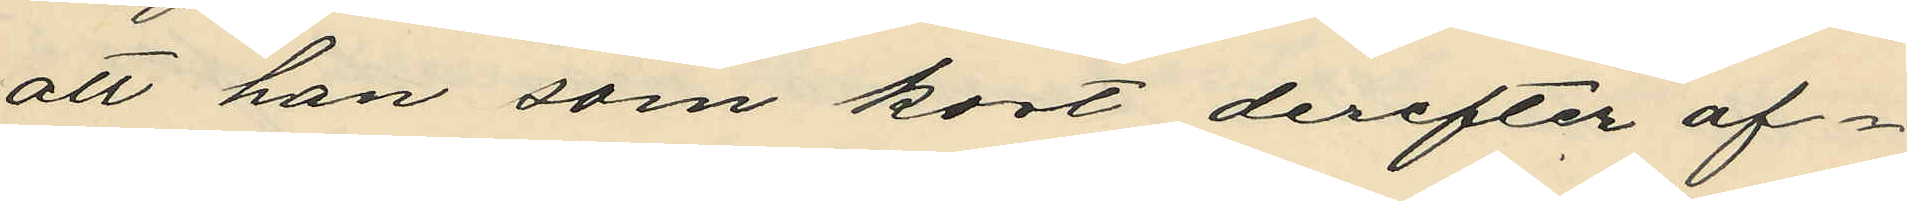att han som kort derefter af¬
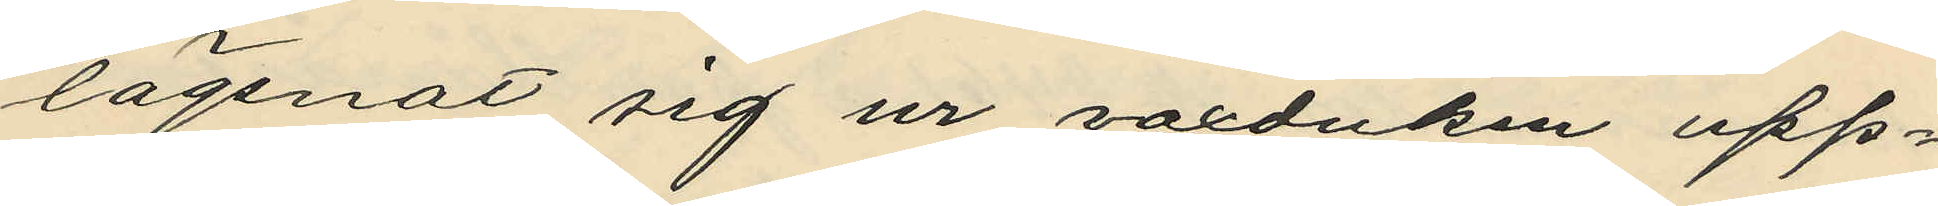lägsnat sig ur vaxduken upp¬
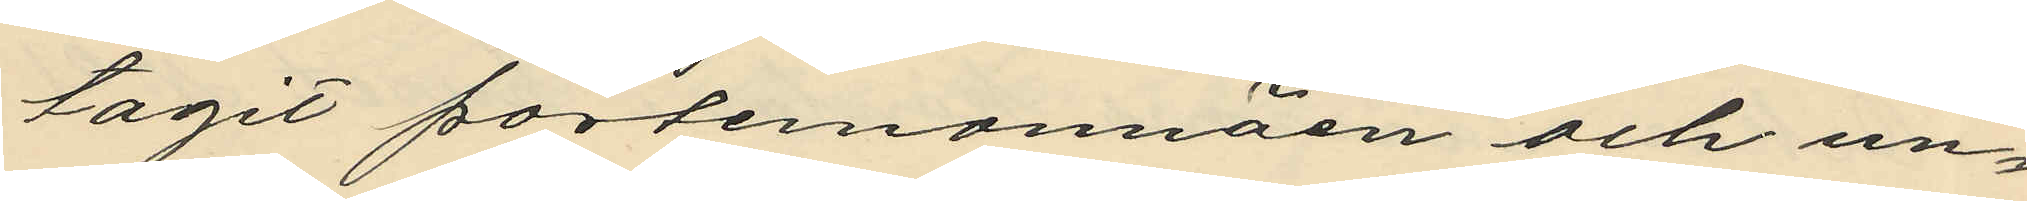tagit portemonnäen och un¬
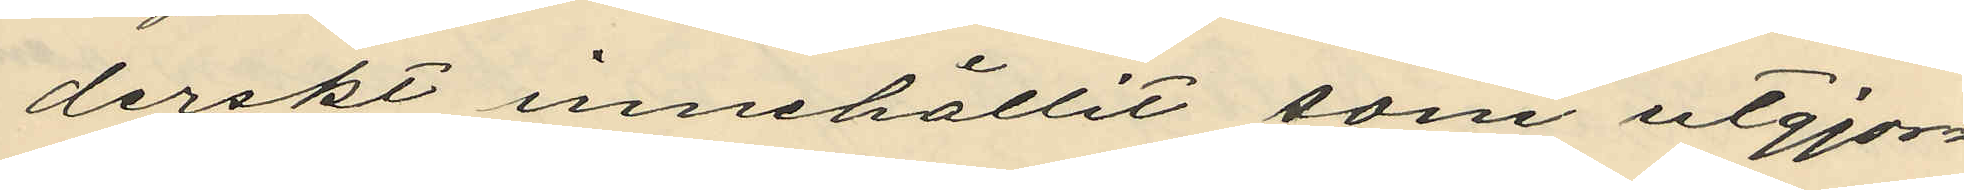derskt innehållit som utgjor¬
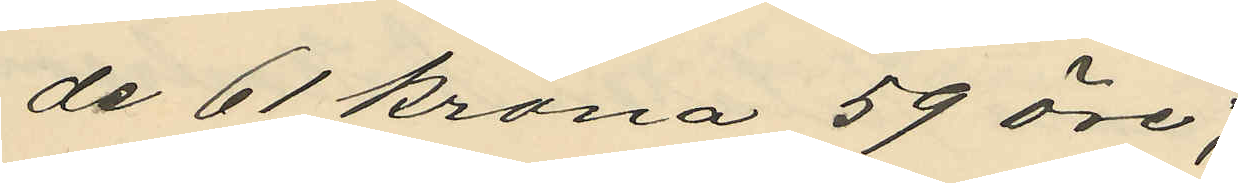de 61 krona 59 öre;
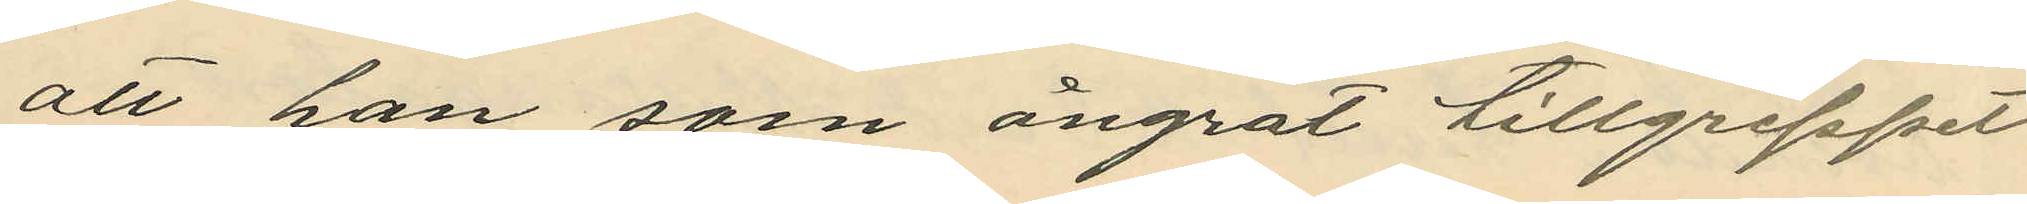att han som ångrat tillgreppet
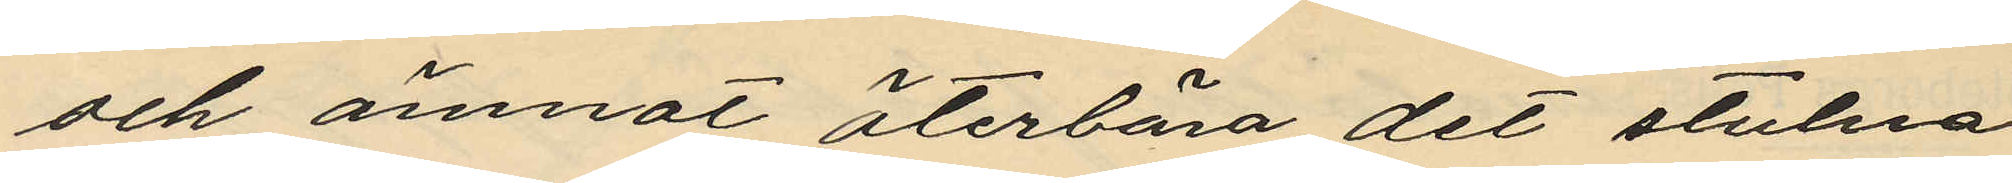och ämnat återbära det stulna
